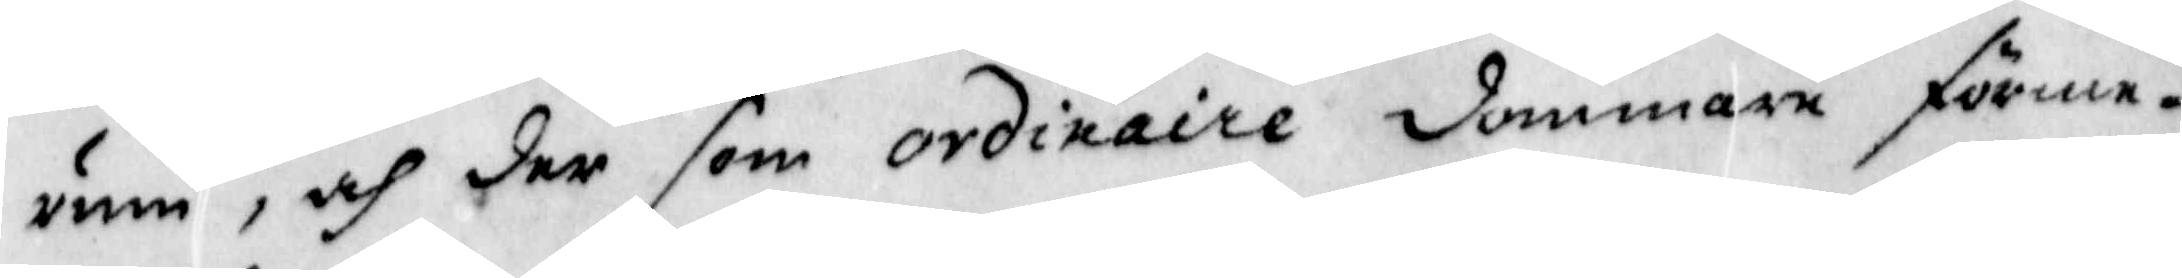rum, och der som ordinarie dommare förme¬
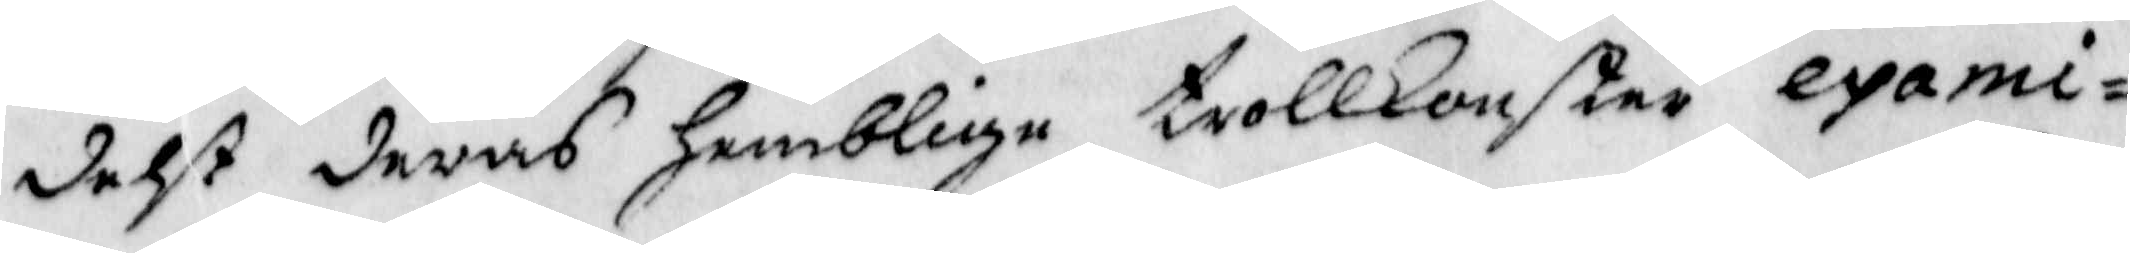delst deras Hemblige trollkonster exami¬
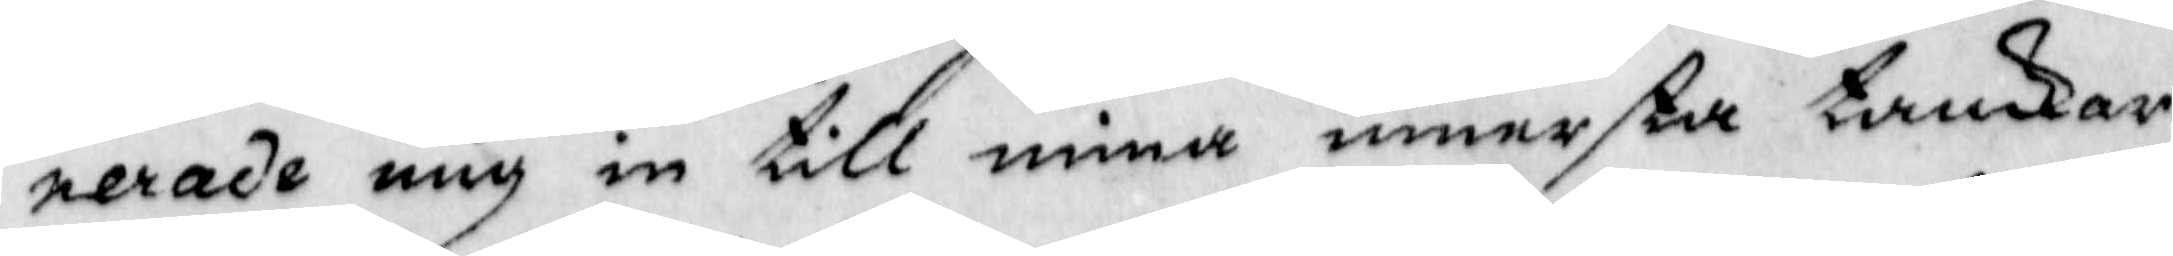nerade mig in till mina innersta tankar
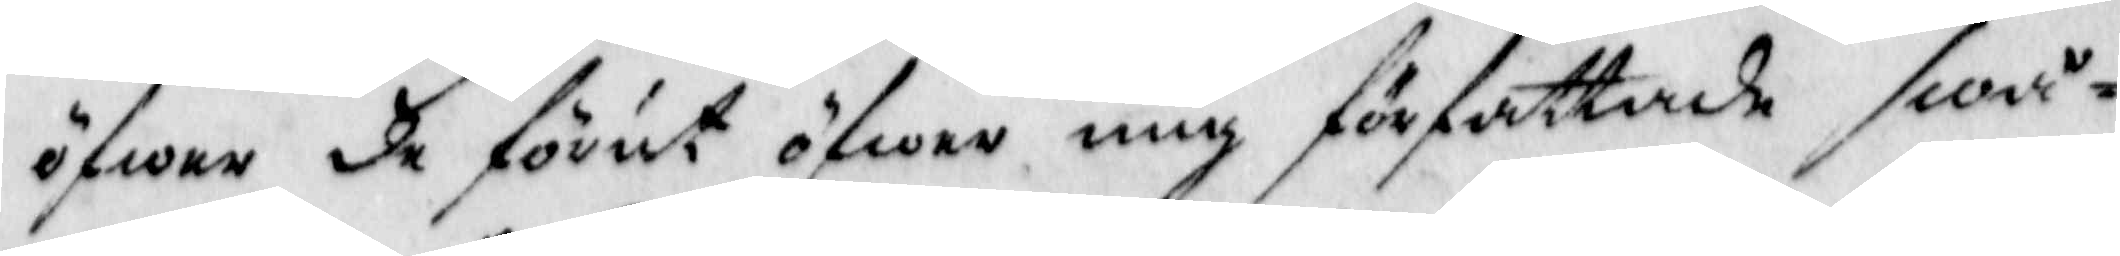öfwer de förut öfwer mig författade swå¬
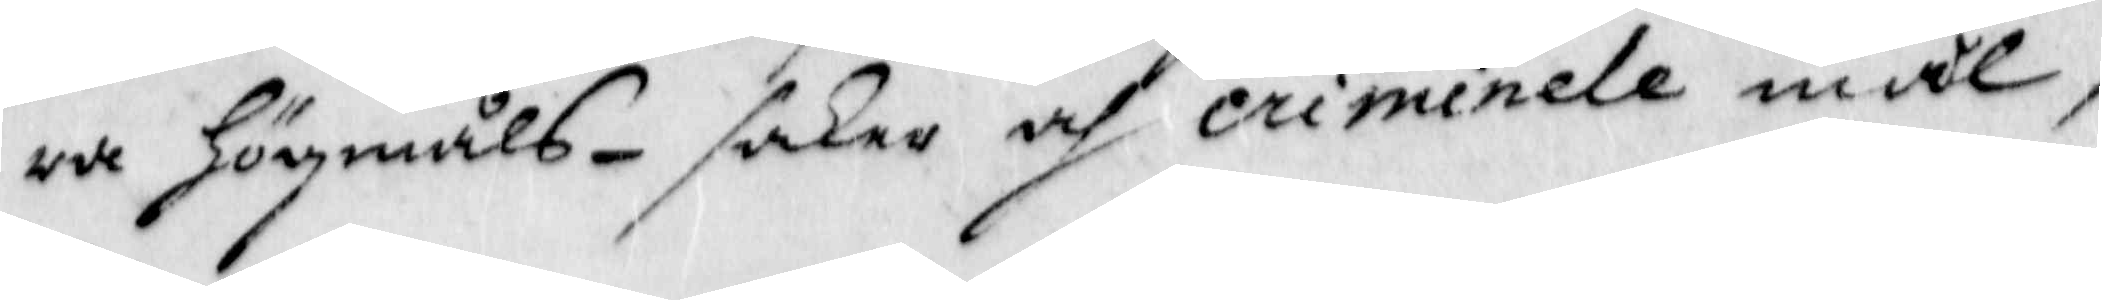ra Högmåls-saker och criminele mål,
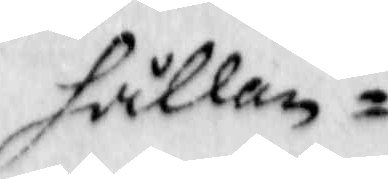hållen
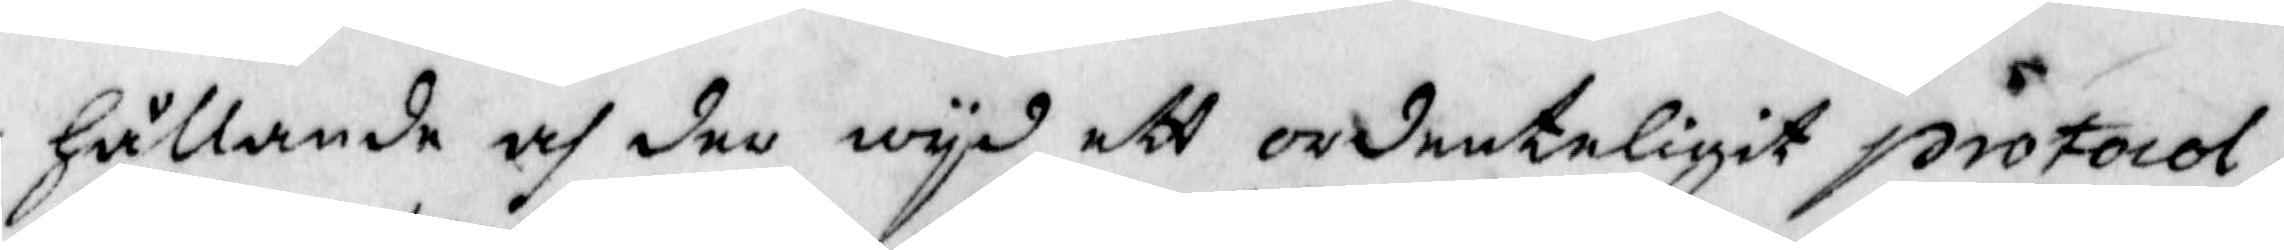Hållande och der wyd ett ordenteligit protocoö,
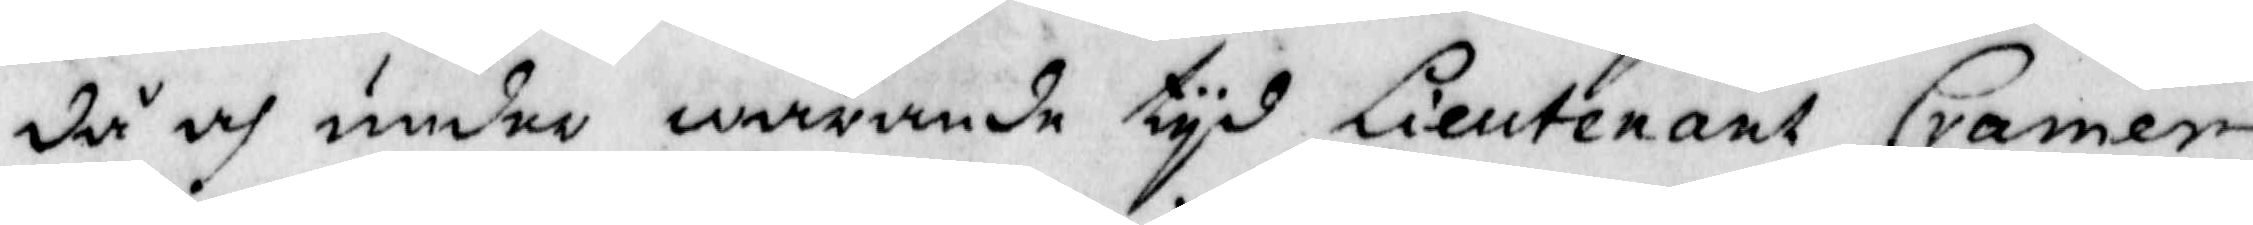då och under warande tyd Lieutenant Cramer
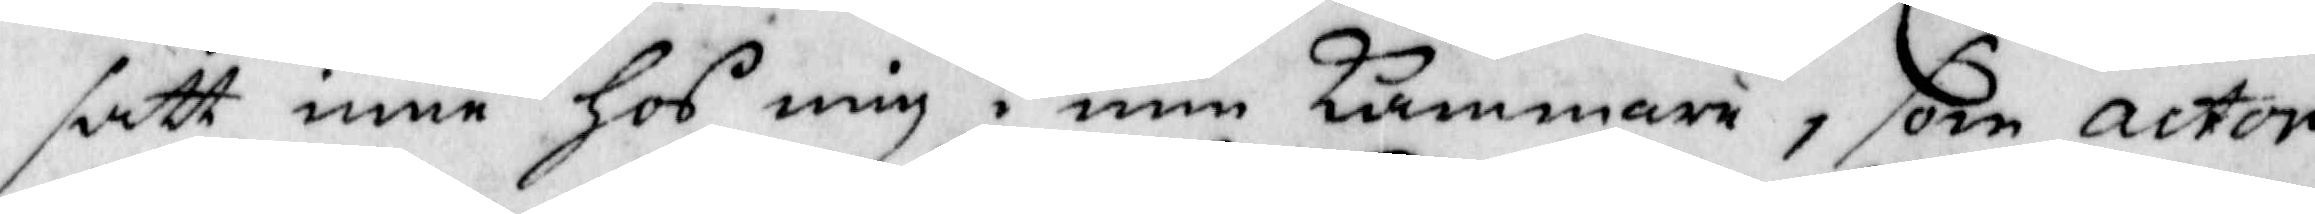satt inne Hos mig i min Kammare, som actor
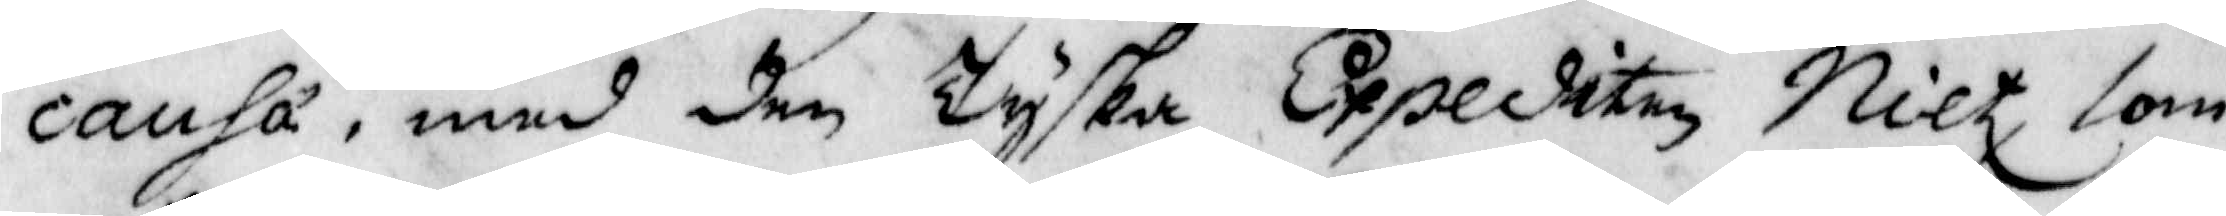causa, med den Tyska Expediten Nilt som
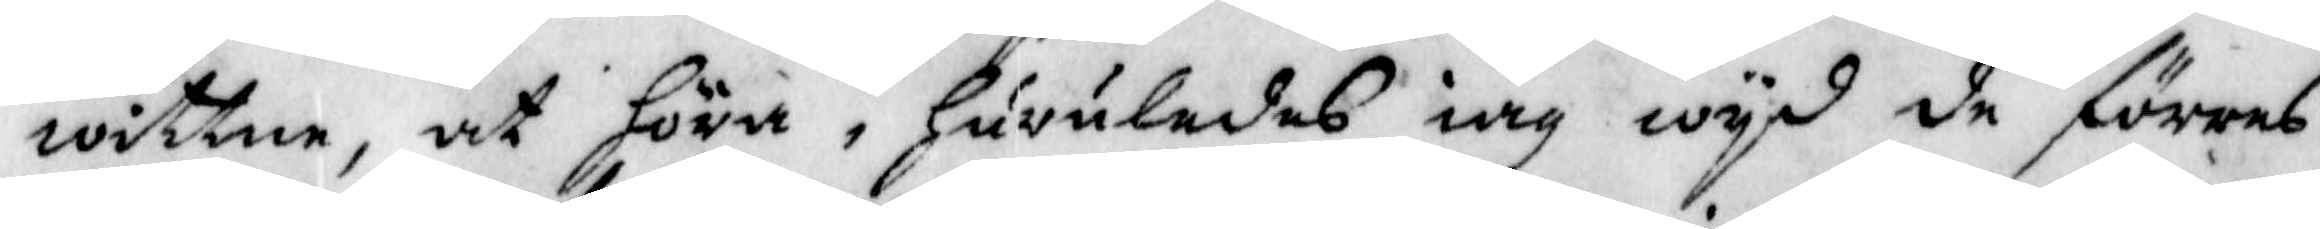wittne, at höra, huruledes iag wyd de förras
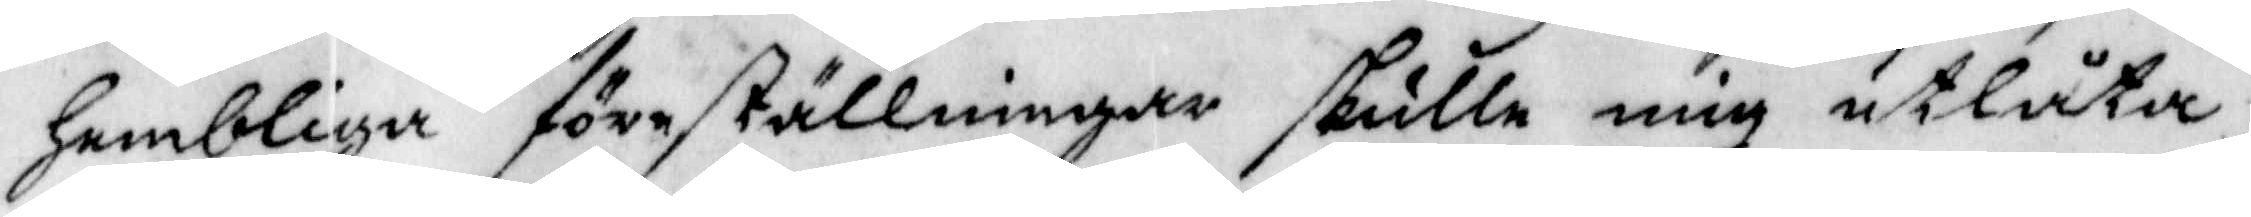Hembliga föreställningat skulle mig utlåta.
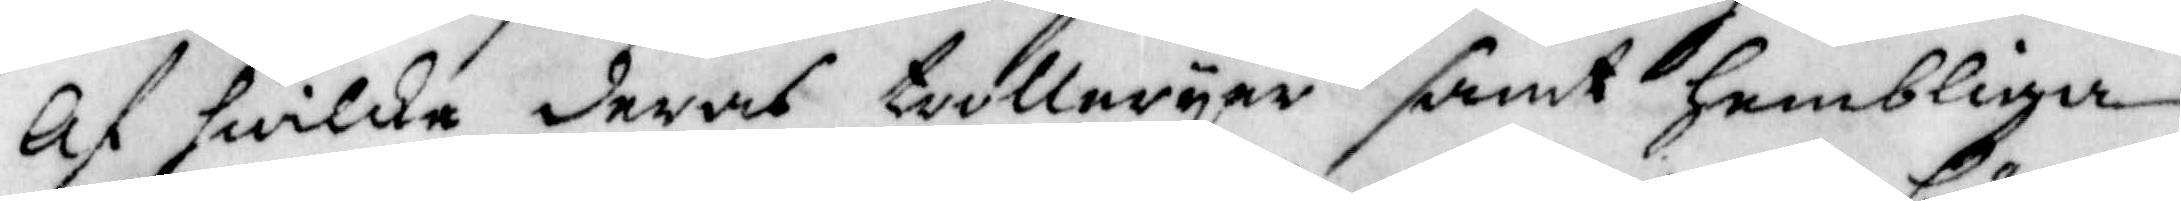Af hwilka deras trolleryer samt hembliga
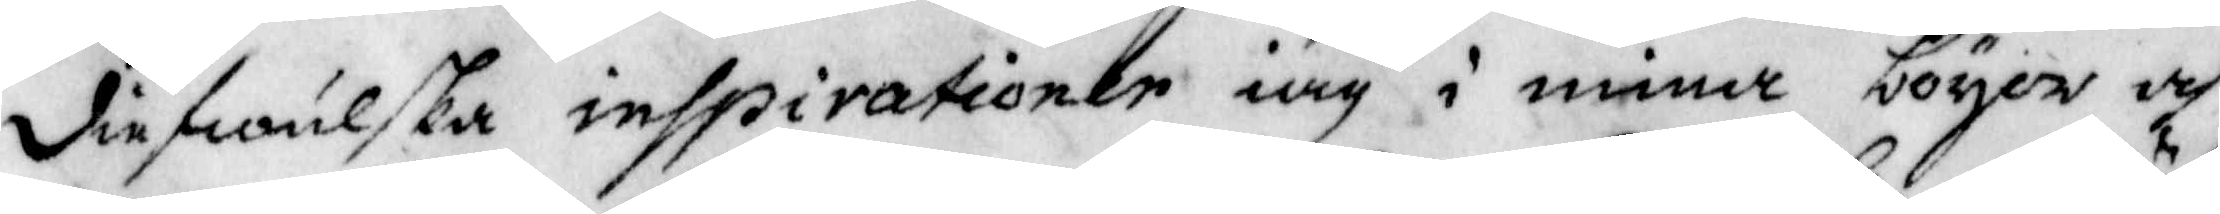diefwulska inspirationer iag i mina boyer och
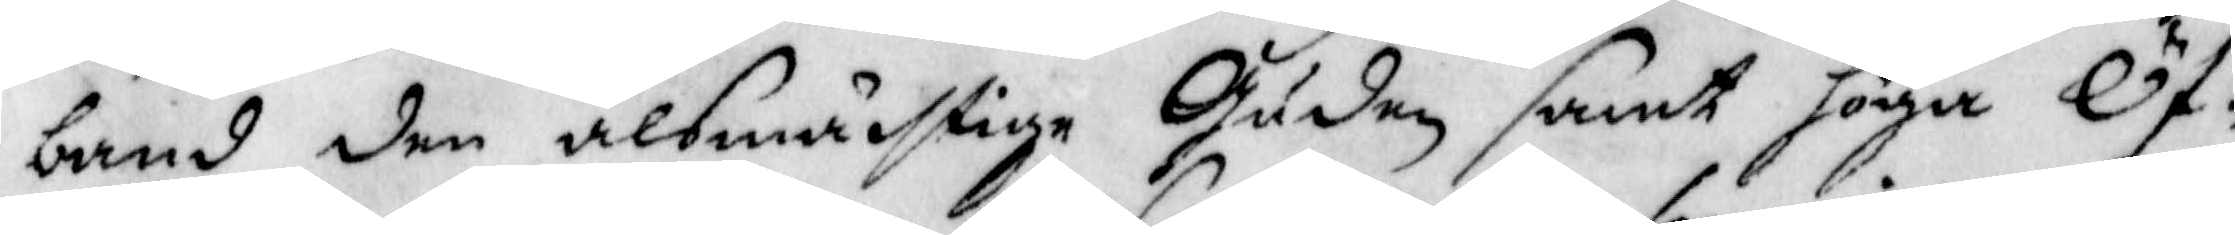band den alsmächtige Guden samt höga Öf¬
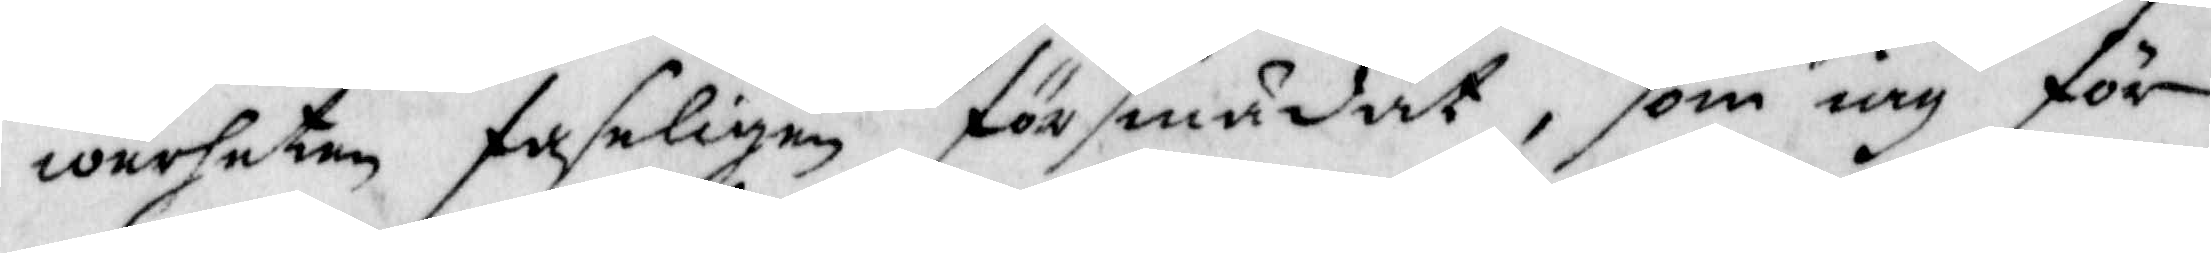werheten sahligen försmädat, som iag för
